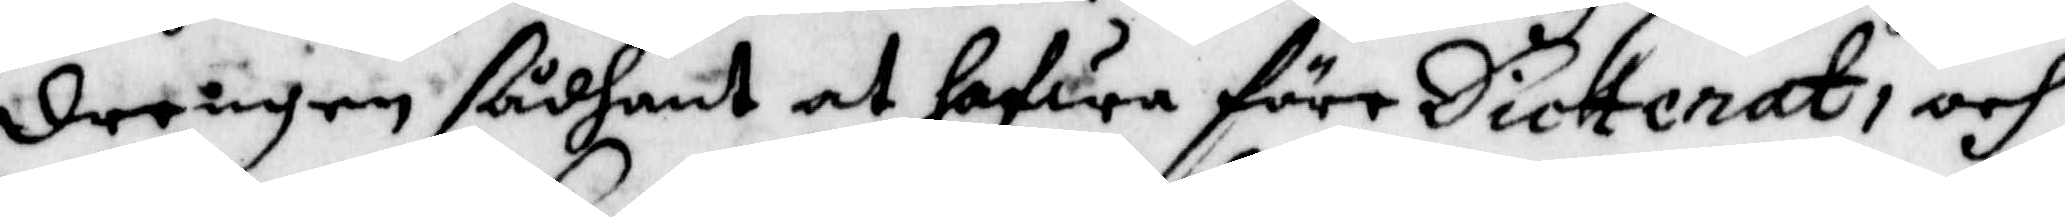drengen sådant at hafwa före Dicterat, och
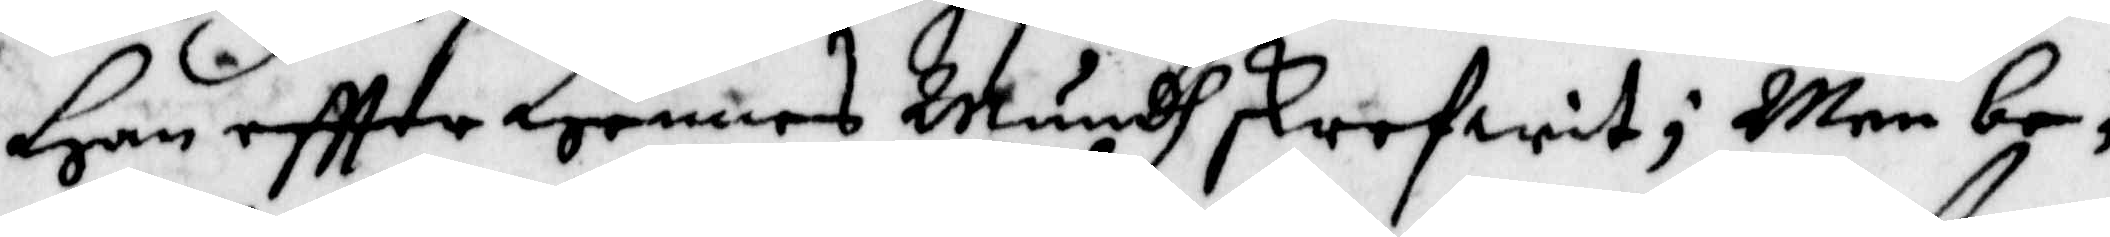Han eftter Hennes Mundh skrefwit; Men be¬
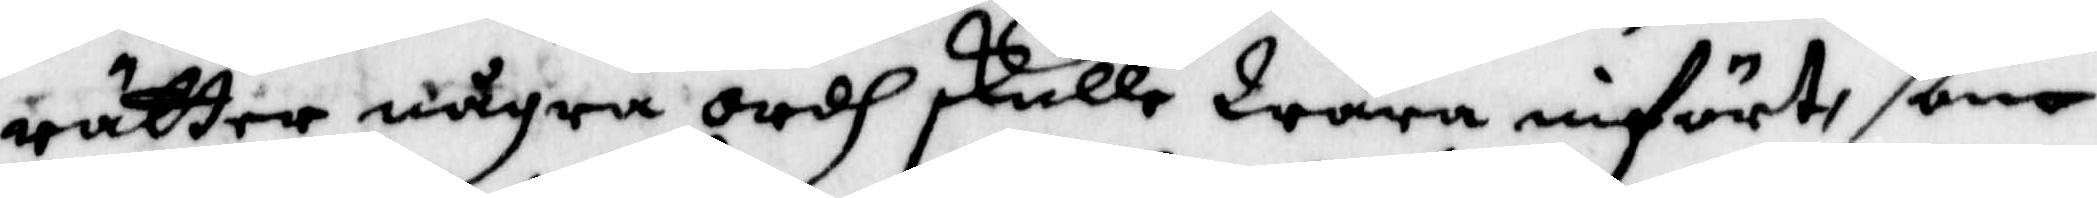rättar några ordh skulle Wara införte, ßom
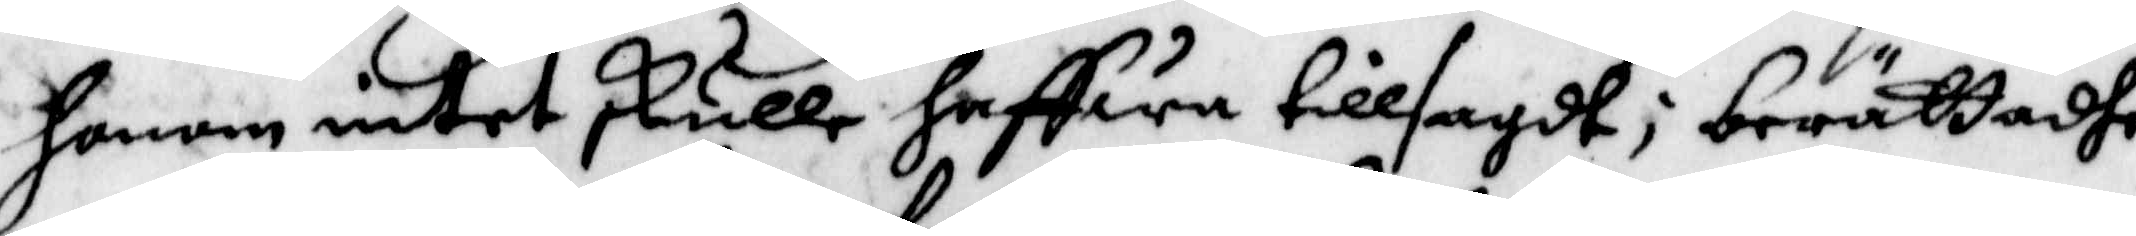honom intet skulle haffwa tillsagdt; berättadhe
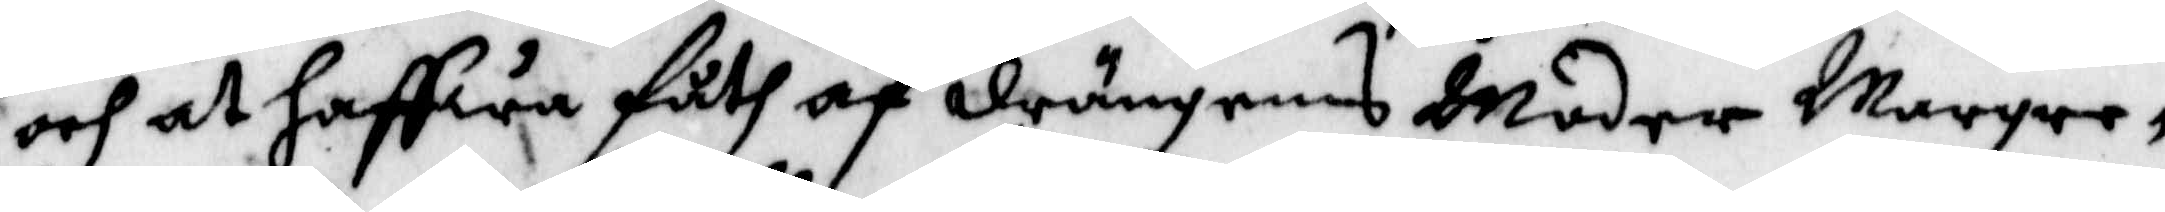och at haffwa Fåth af drängens Moder Margre¬
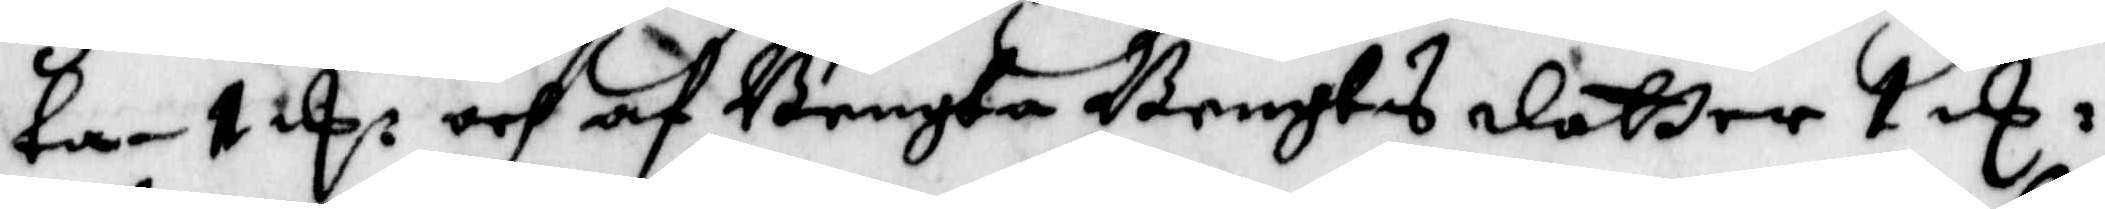ta 2 E och af Bengta Bengts dotter 1 E:
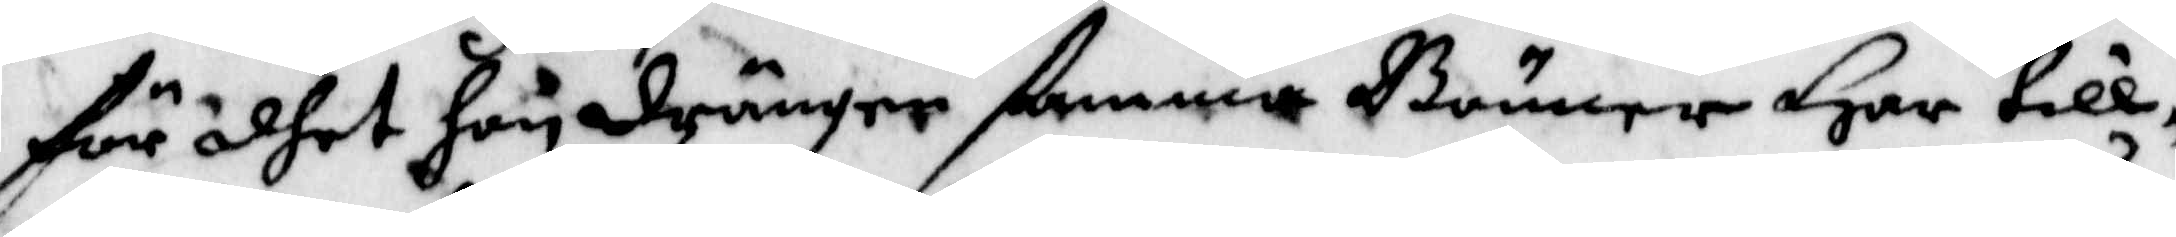För dhet hon drängen ßama Bönner Har till¬
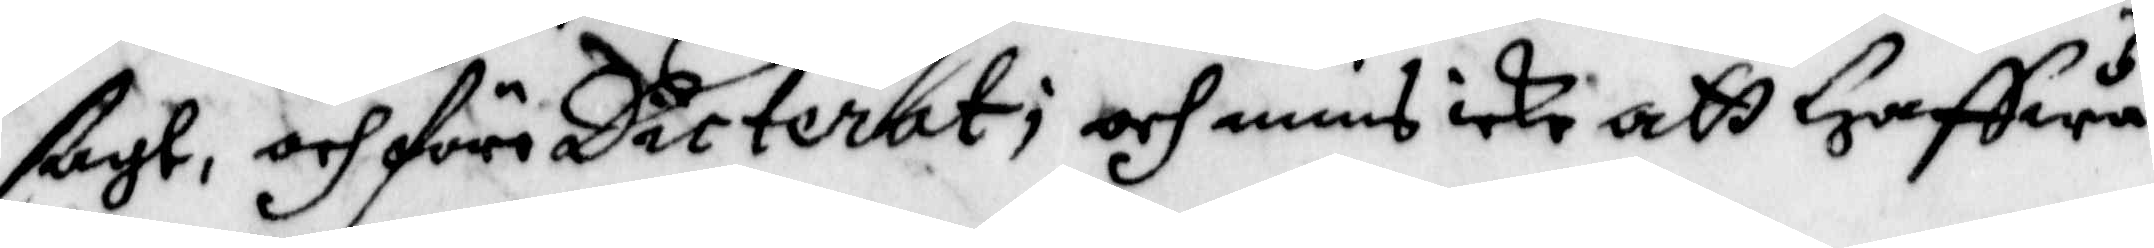ßagt, och före Dicterat; och mins ice att Haffwa
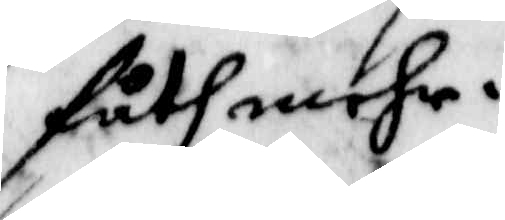Fårh mehr.
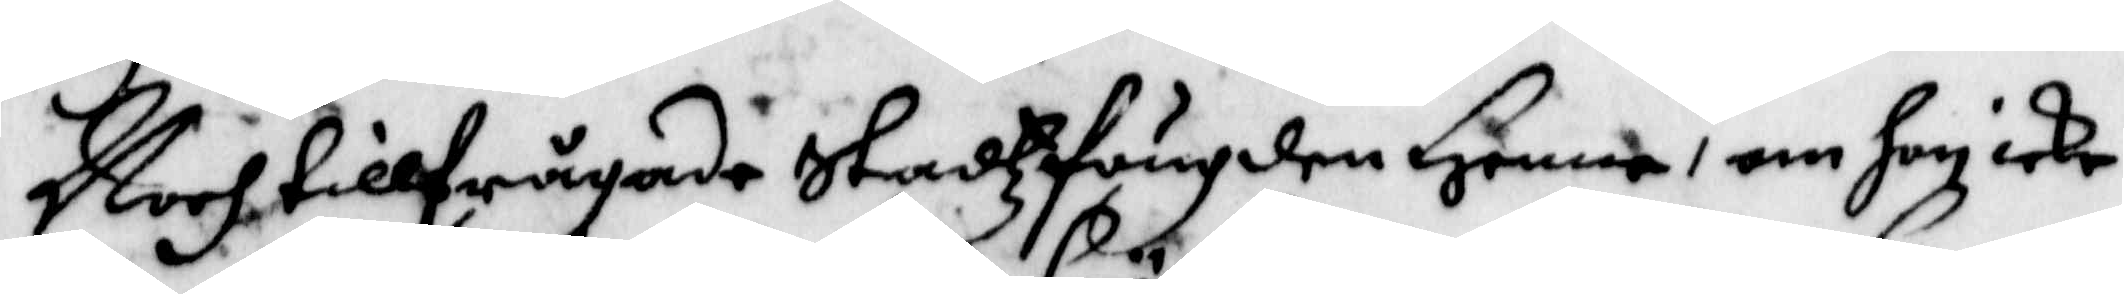Noch tillfrågades StadzFougden Henne, om hon icke
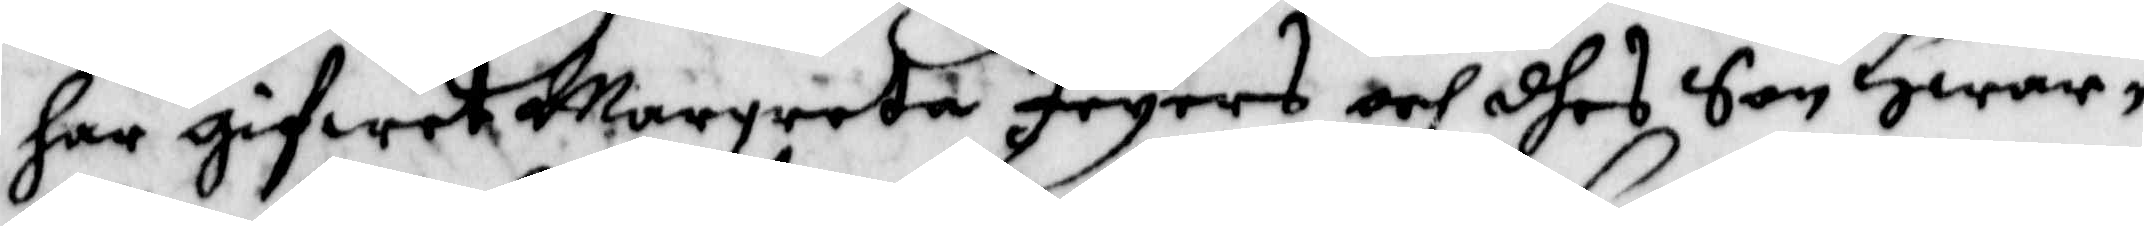har gifwet Margreta Feyers och dhes Son Hwar¬
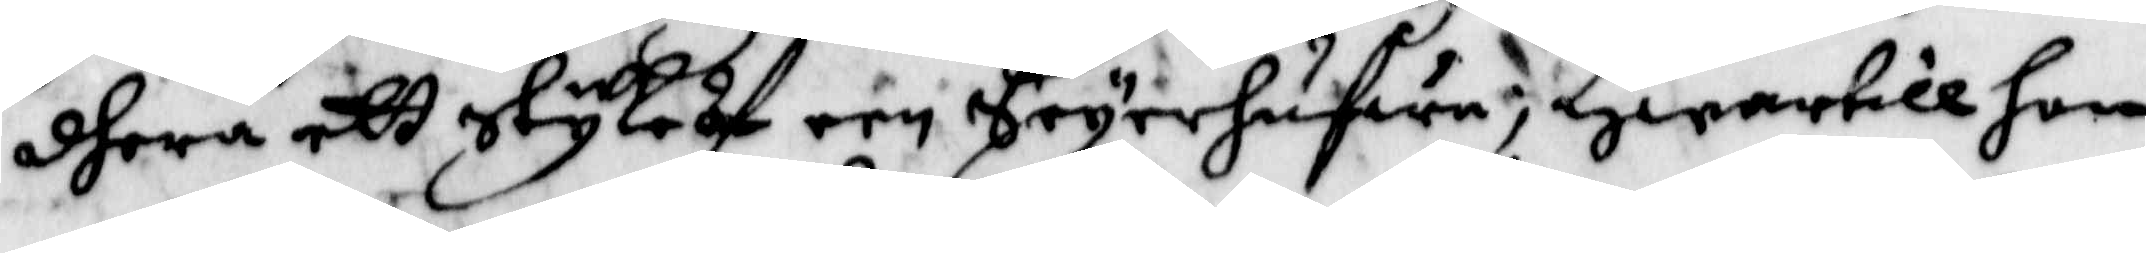dhera ett Styk Af Seyerhufwa, Hwartill hon
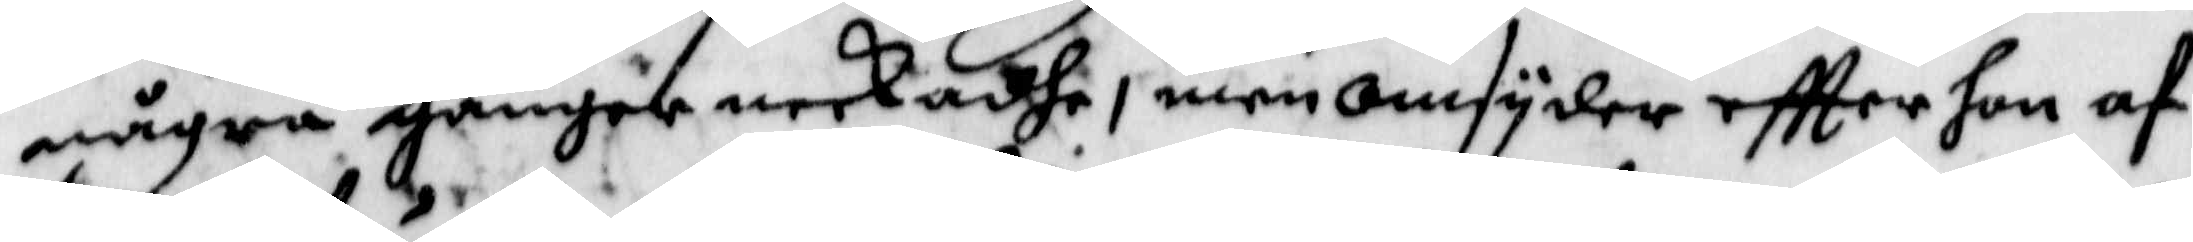några ganger neekadhe, men omsyder eftter hon af
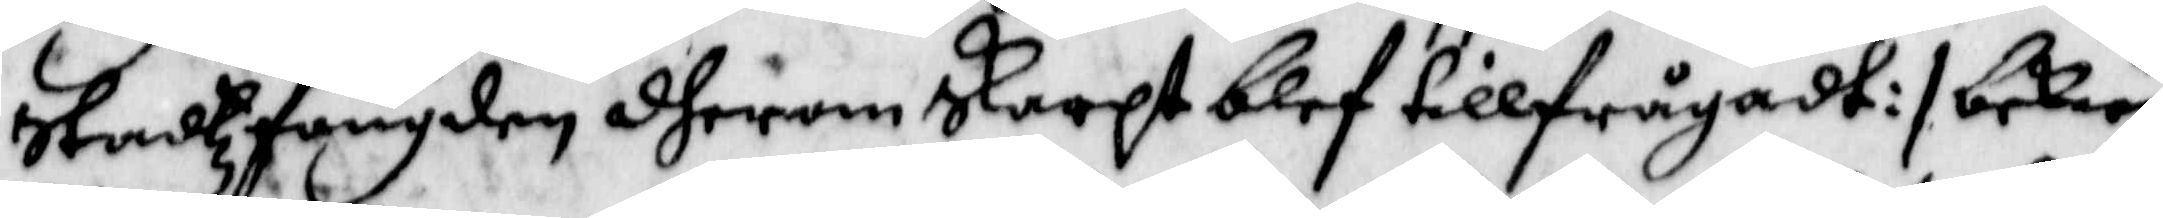Stadzfougden dherom Skarpt blef tillfrågadt:/ bekie¬
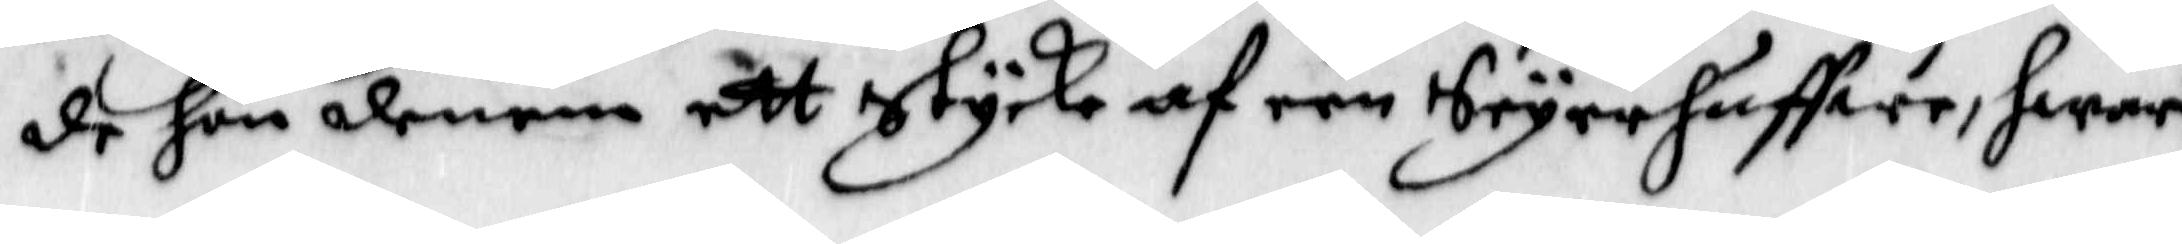de hon denem ett stycke af een Seyerhuffwe, hwar
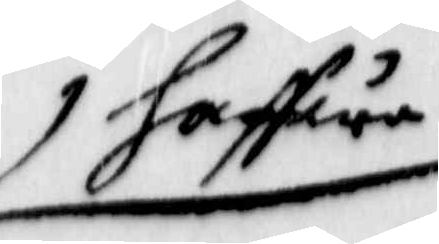haffwe
